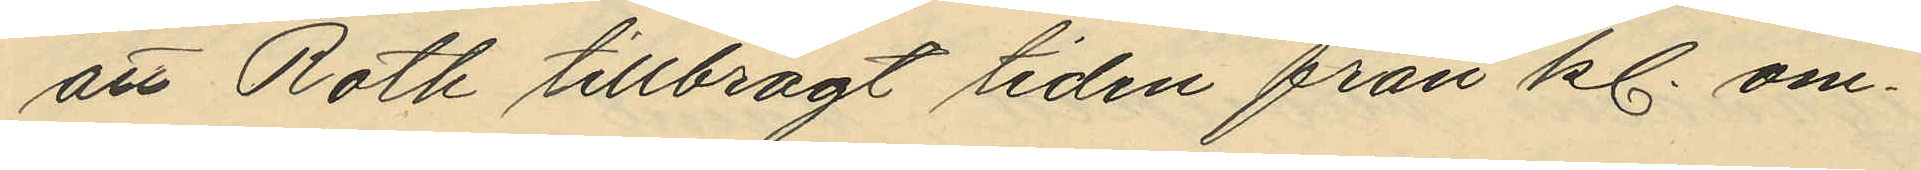att Roth tillbragt tiden från kl. om¬
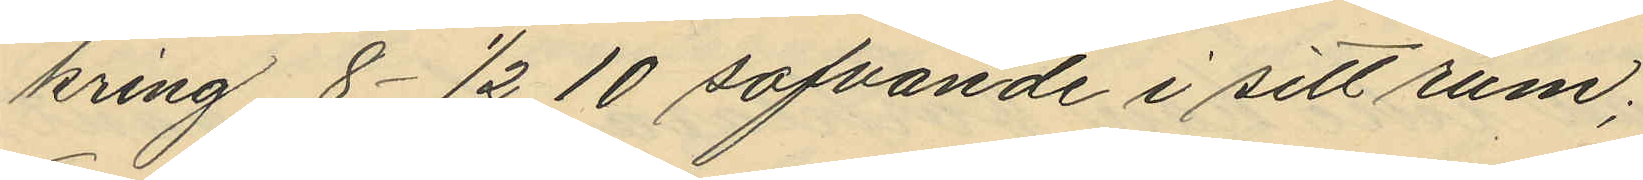kring 8- 1/2 10 sofvande i sitt rum;
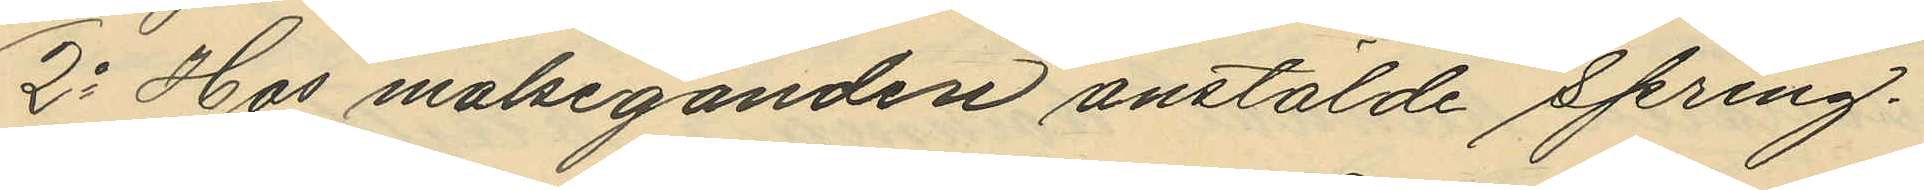2o Hos målseganden anstälde spring¬
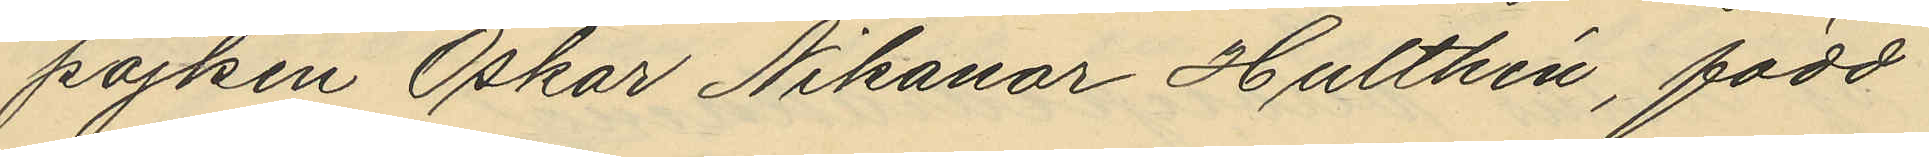pojken Oskar Nikanor Hulthén, född
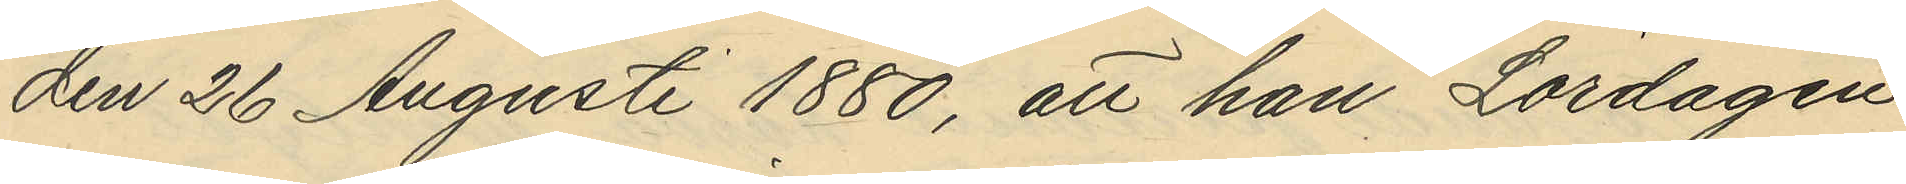den 26 Augusti 1880, att han Lördagen
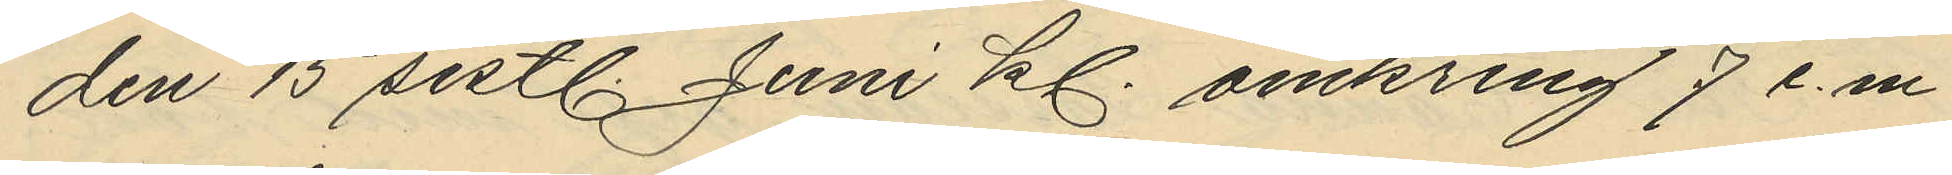den 15 sistl. Juni kl. omkring 7 e.m.
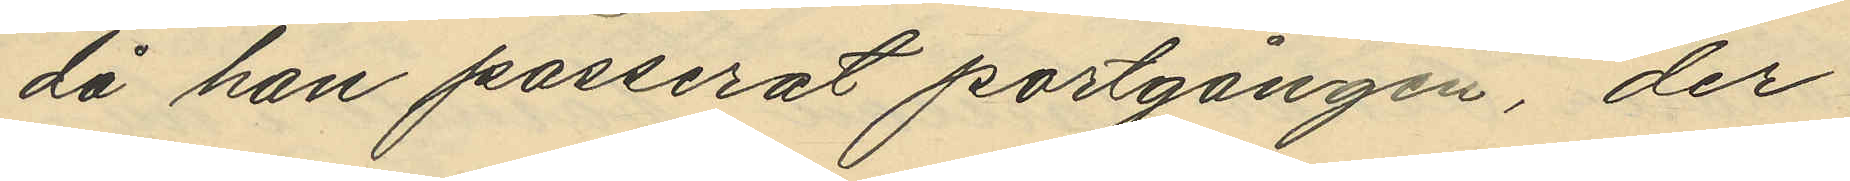då han passerat portgången, der
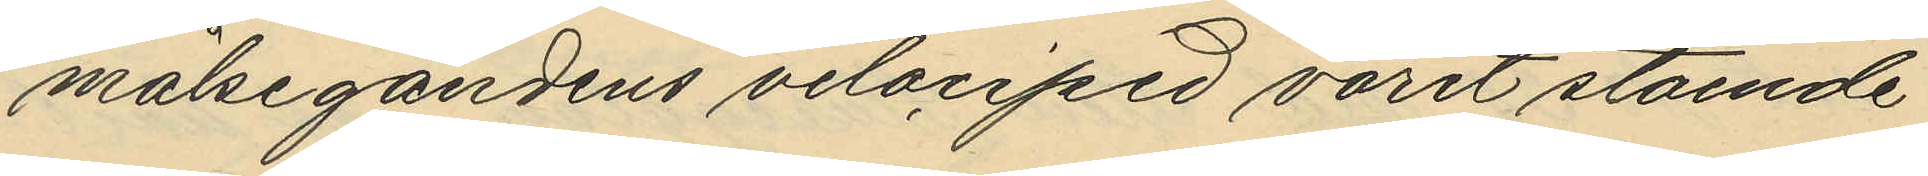målsegandens velocipid varit stående
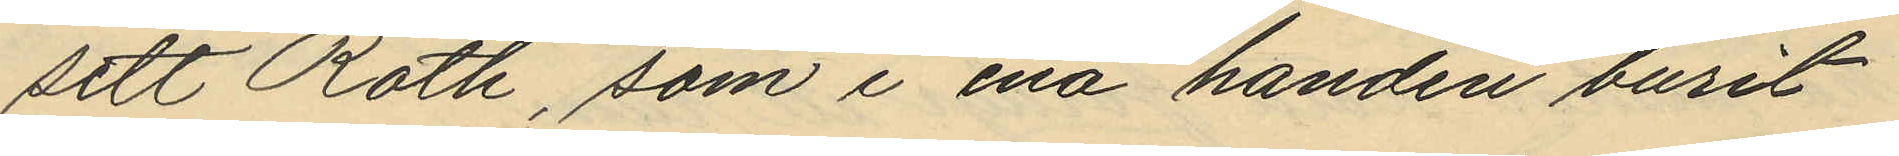sett Roth, som i ena handen burit
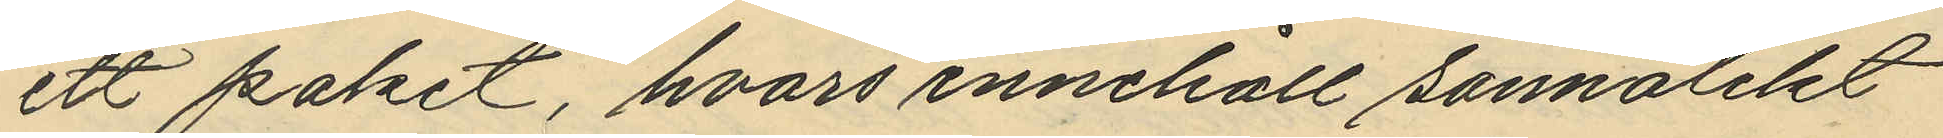ett paket, hvars innehåll sannolikt
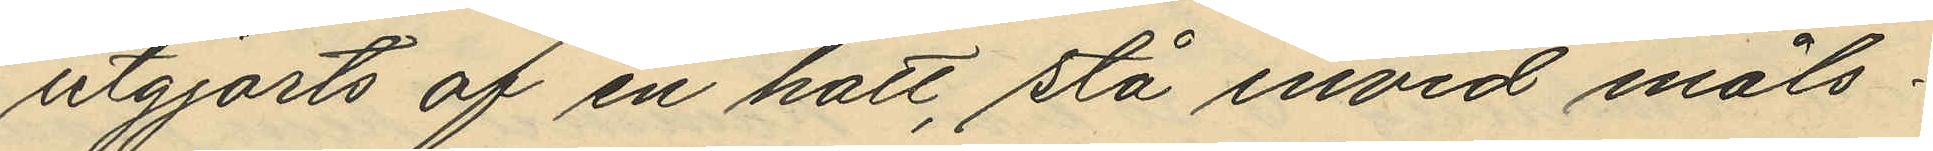utgjorts af en hatt, stå invid måls¬
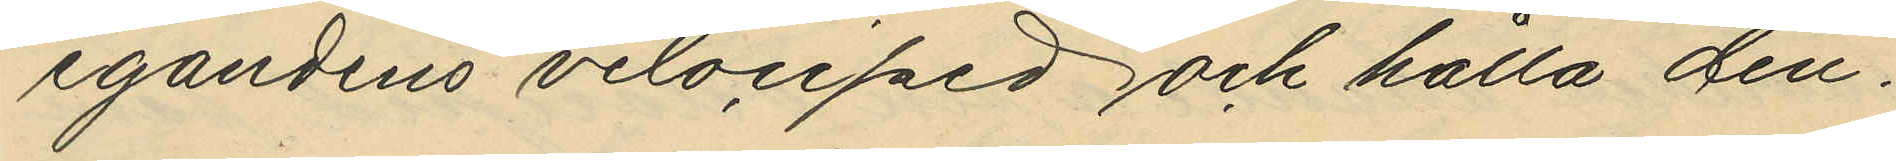egandens velociped och hålla den¬
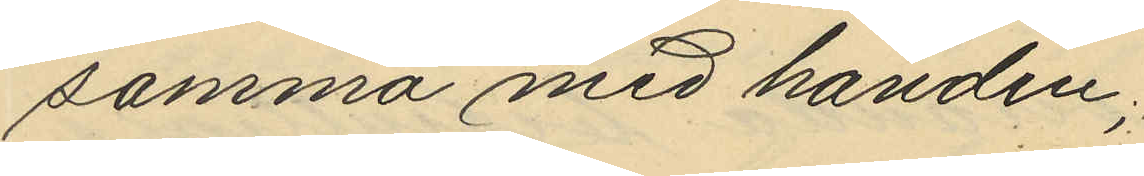samma med handen;
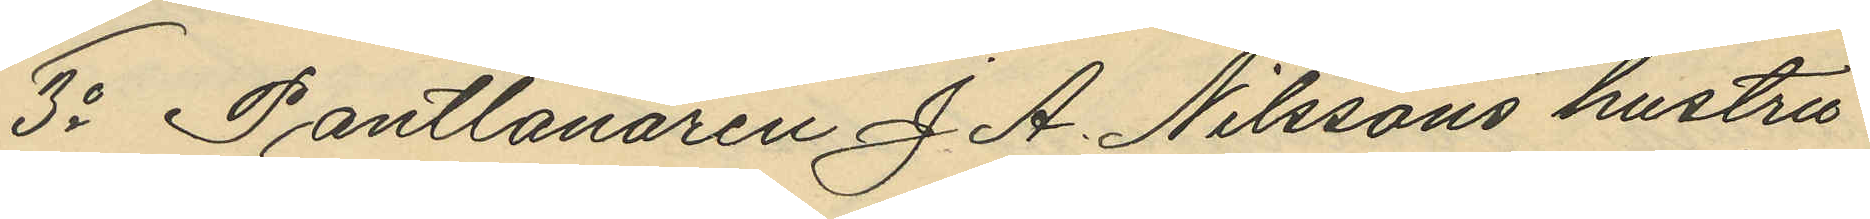3o Pantlånaren J. A. Nilssons hustru
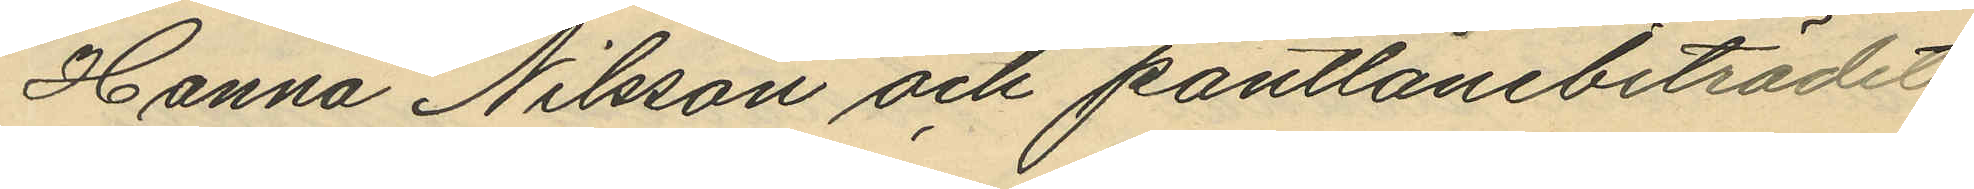Hanna Nilsson och pantlånebiträdet
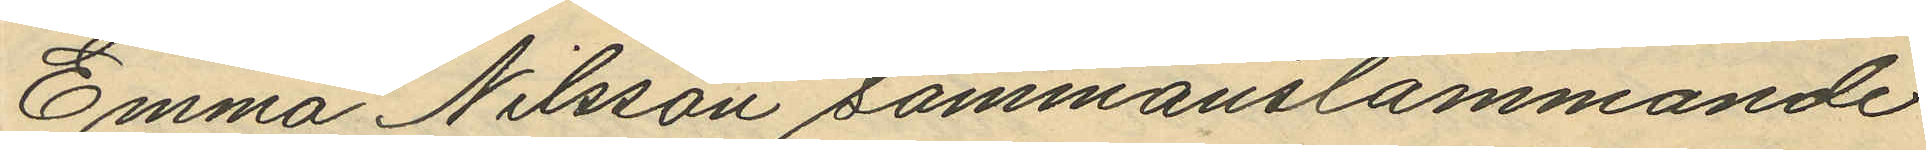Emma Nilsson sammanstämmande
